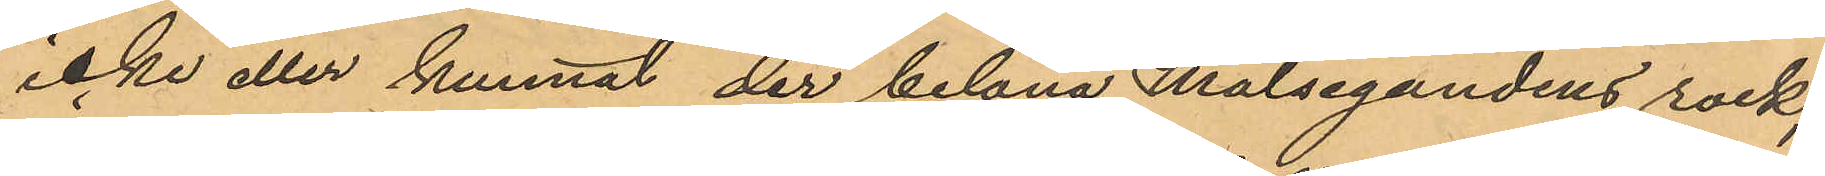icke eller kunnat der belåna Målsegandens rock;
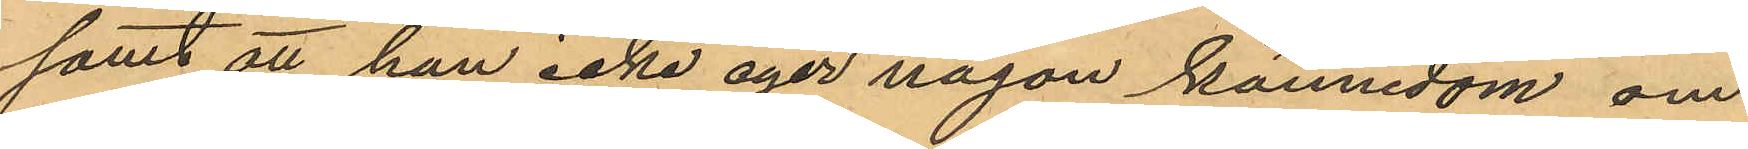samt att han icke eger någon kännedom om
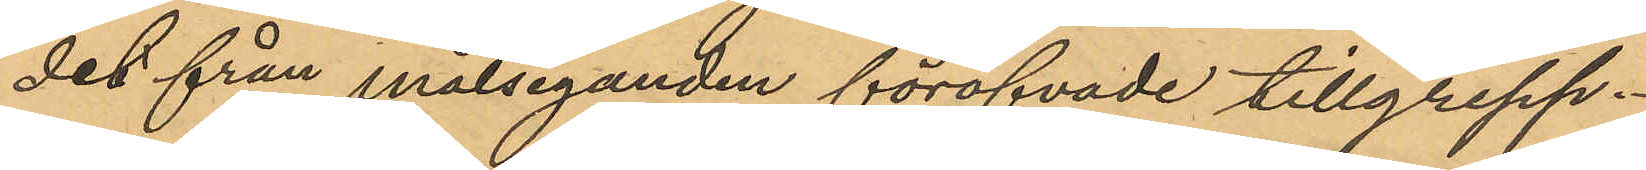det från målseganden föröfvade tillgrepp.
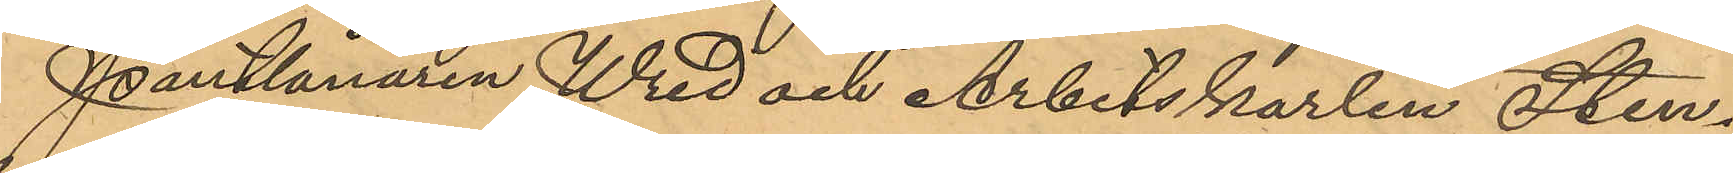Pantlånaren Wred och Arbetskarlen Sten¬
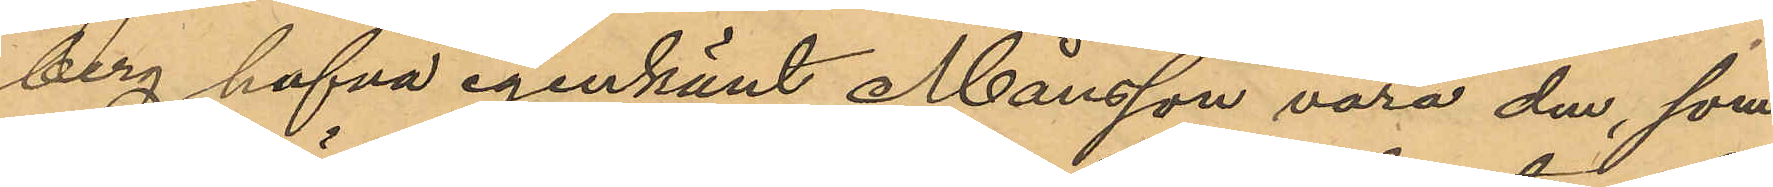berg hafva igenkänt Månsson vara den, som
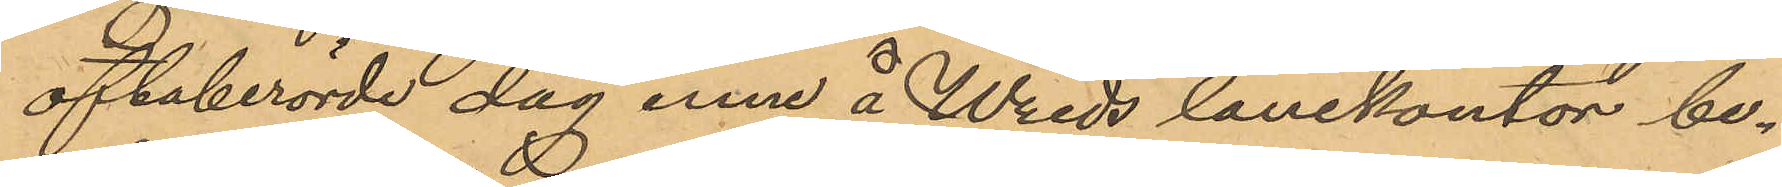oftaberörde dag inne å Wreds lånekontor be¬
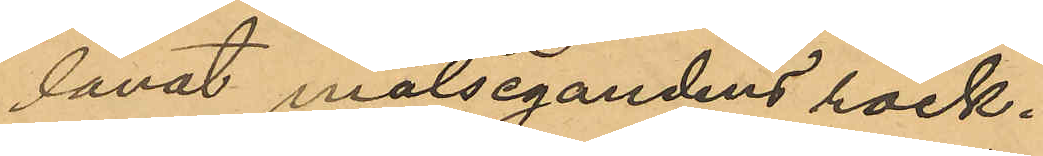lånat målsegandens rock.
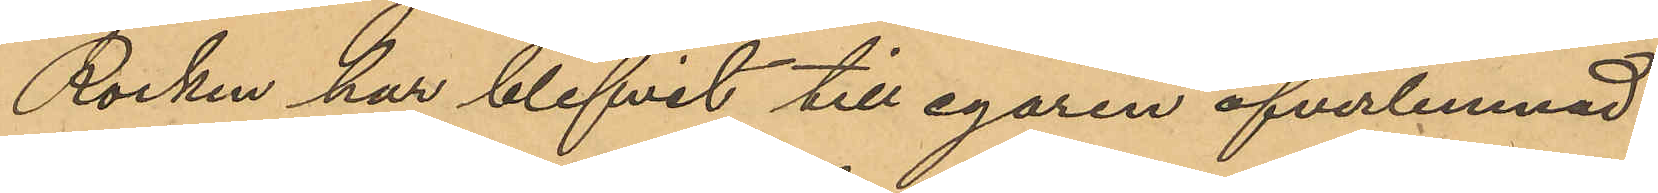Rocken har blifvit till egaren öfverlemnad.
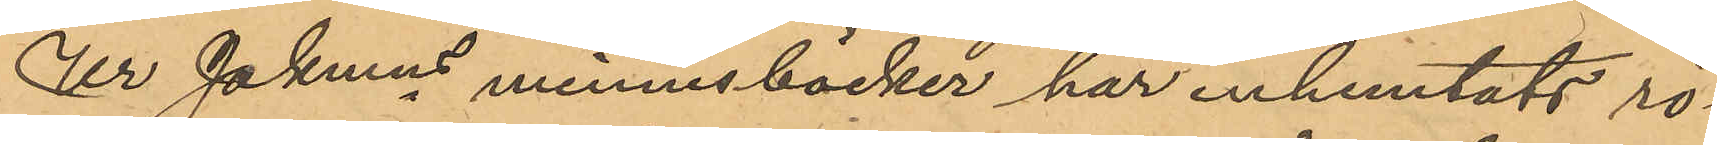Ur Pkmns minnesböcker har inhemtats rö¬
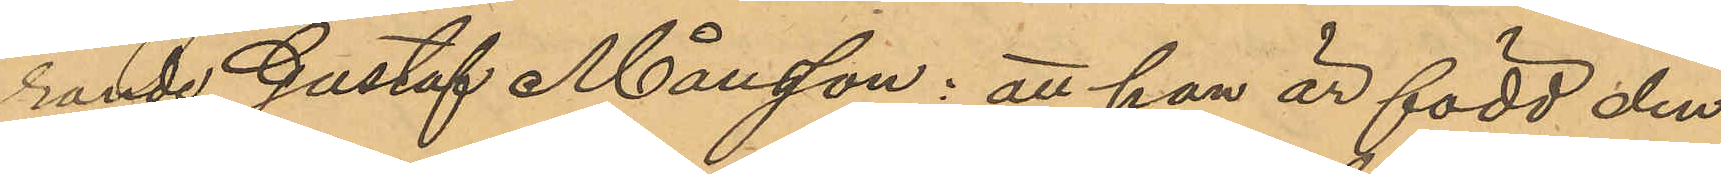rande Gustaf Månsson: att han är född den
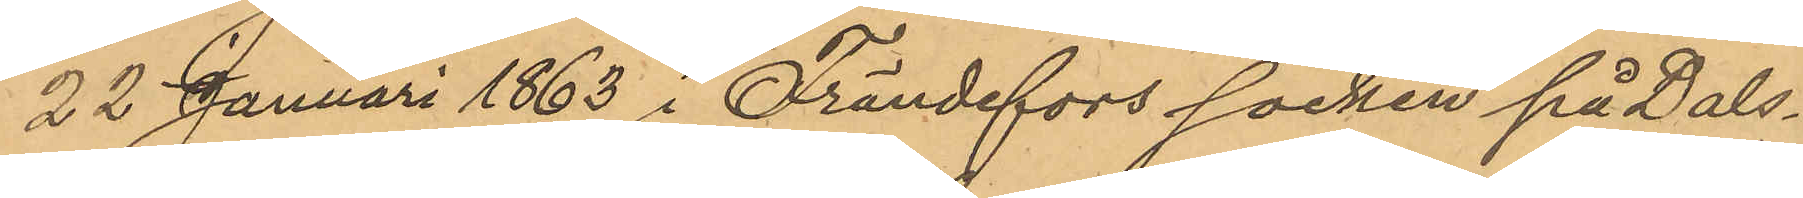22 Januari 1863 i Frändefors socken på Dals¬
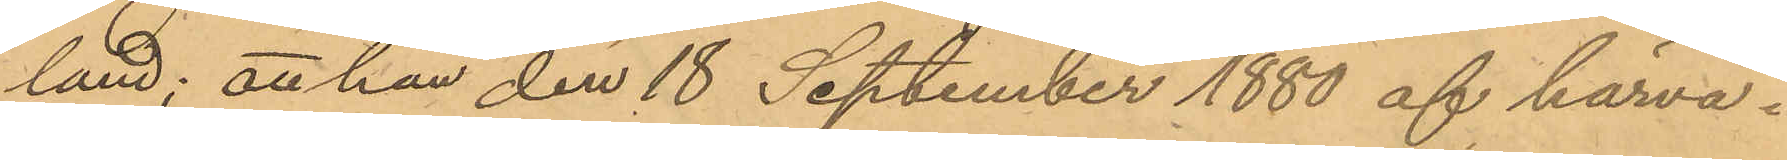land; att han den 18 September 1880 af härva¬
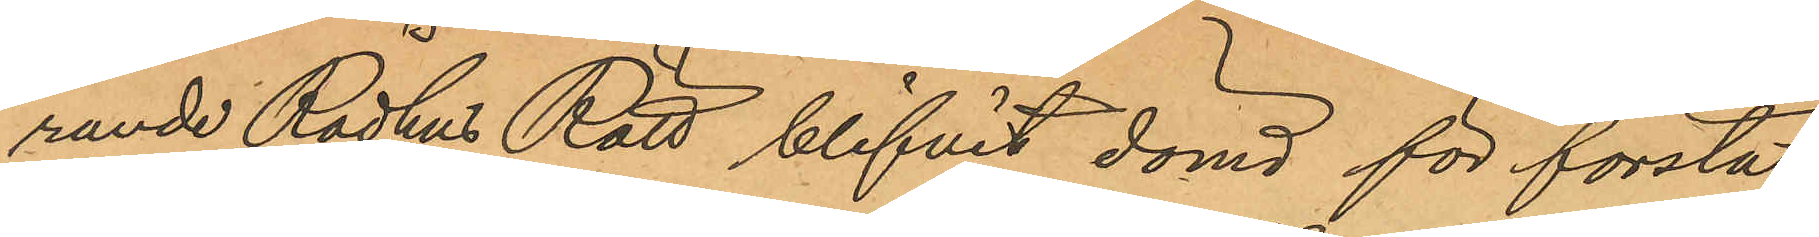rande Rådhus Rätt blifvit dömd för första
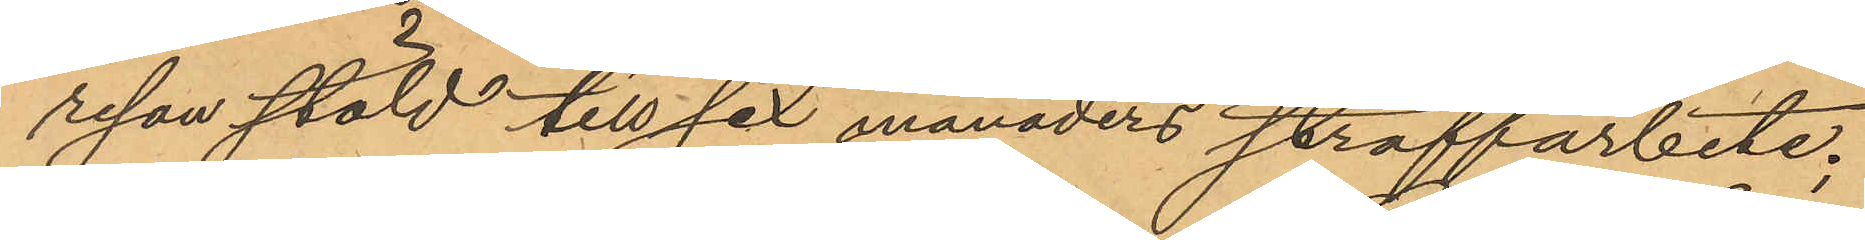resan stöld till sex månaders straffarbete;
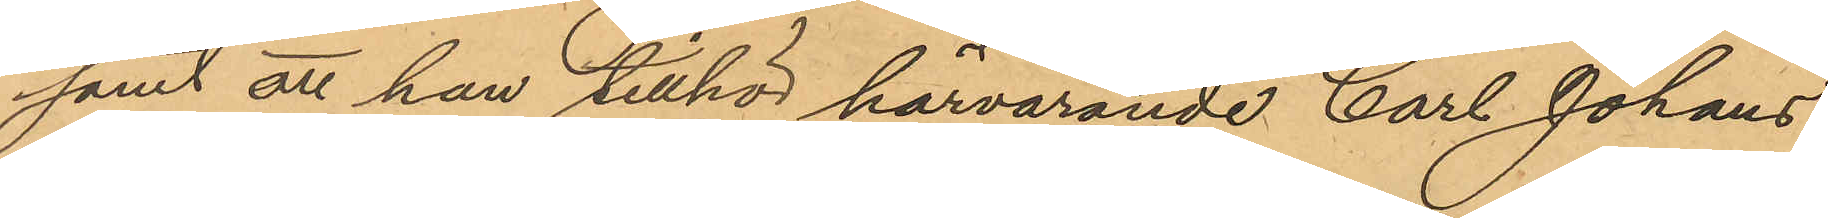samt att han tillhör härvarande Carl Johans
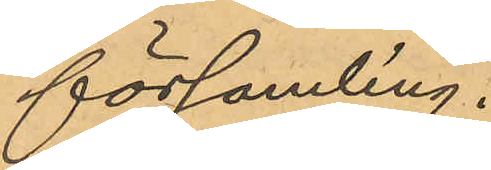församling.
